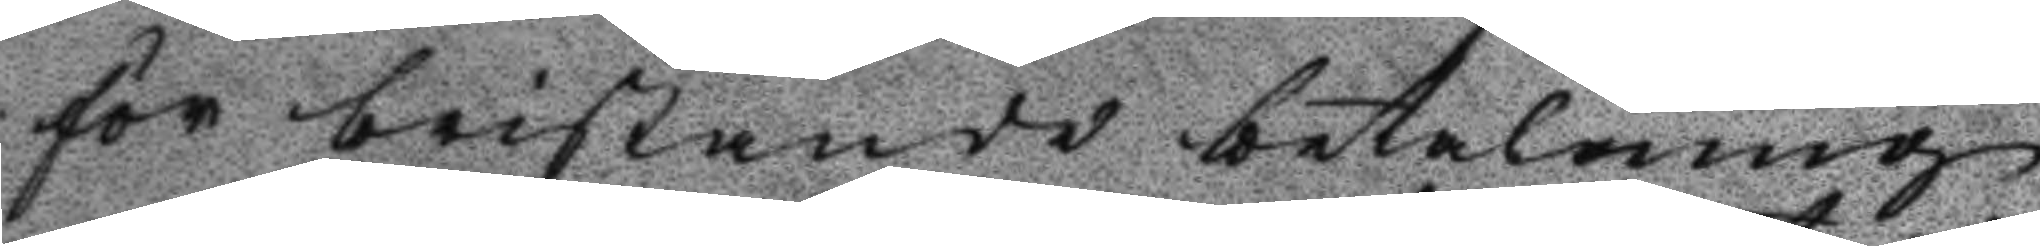för bristande betalning
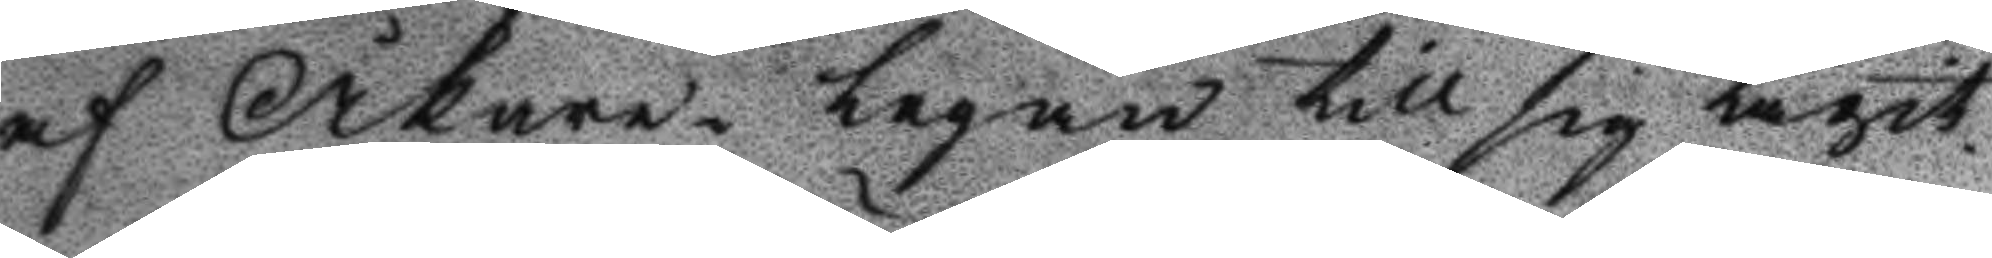af Åkare- legan till sig tagit.
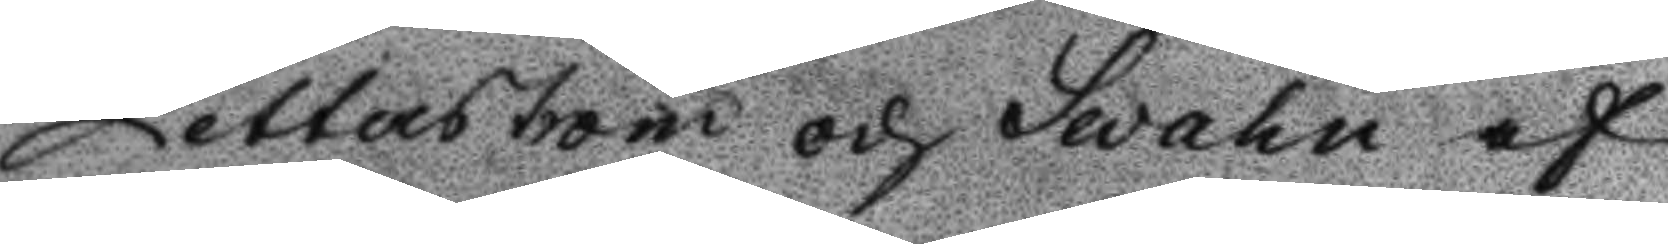Zetterström och Swahn af
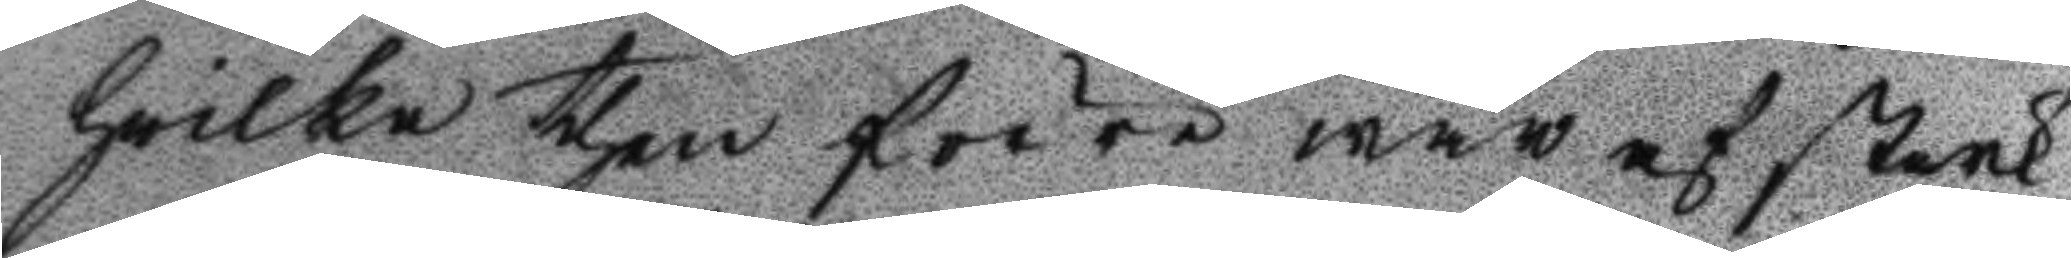hvilka then förre war af strak
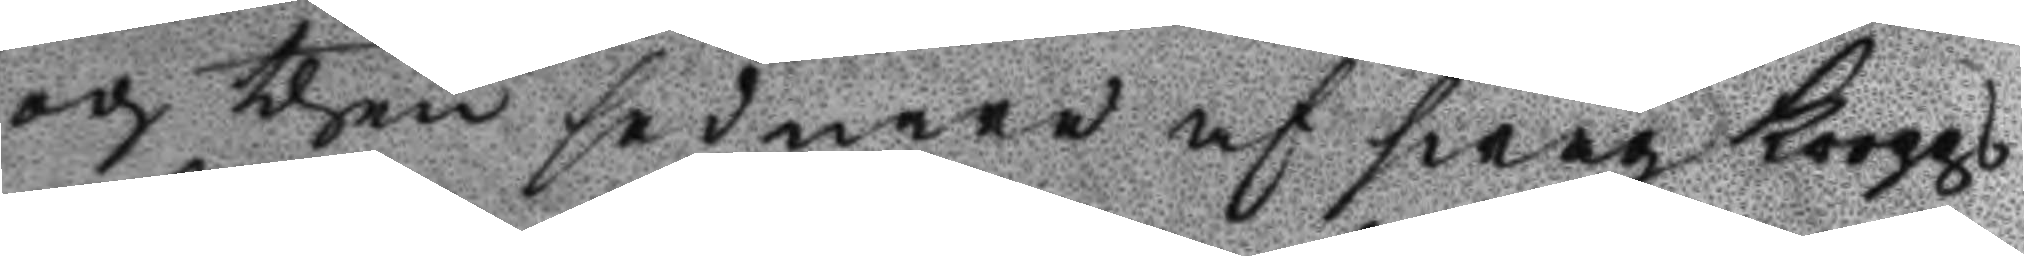och then sednare af swag kropps
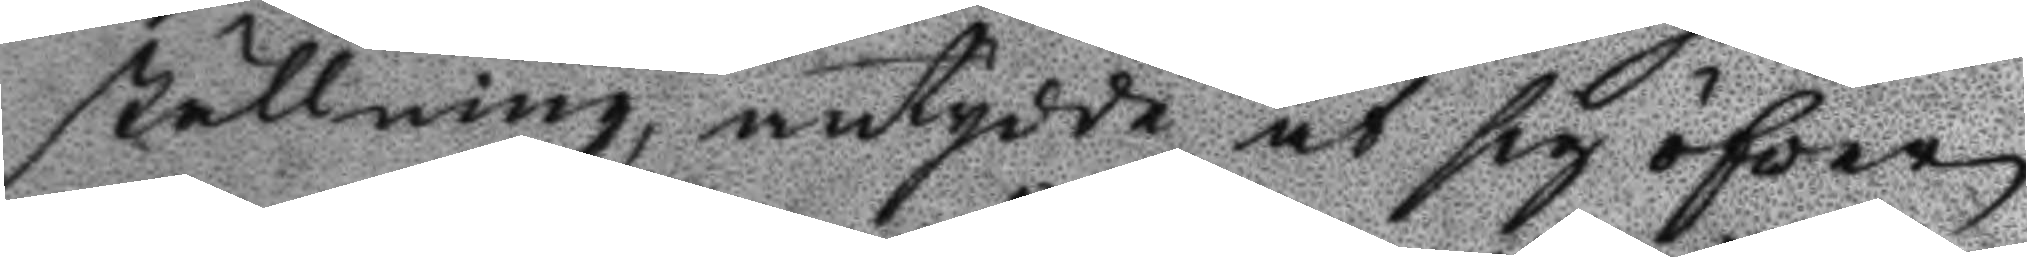ställning, antydde at sig öfver
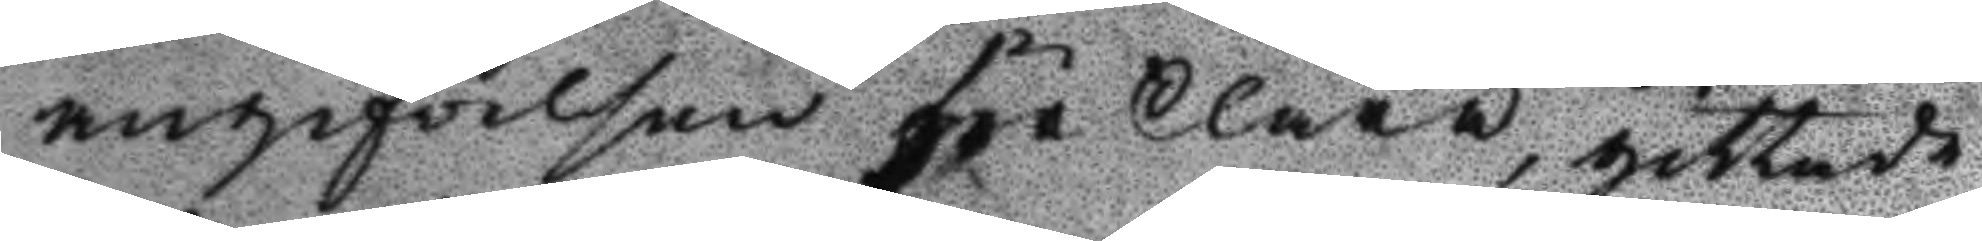angifvelsen förklara, gittade
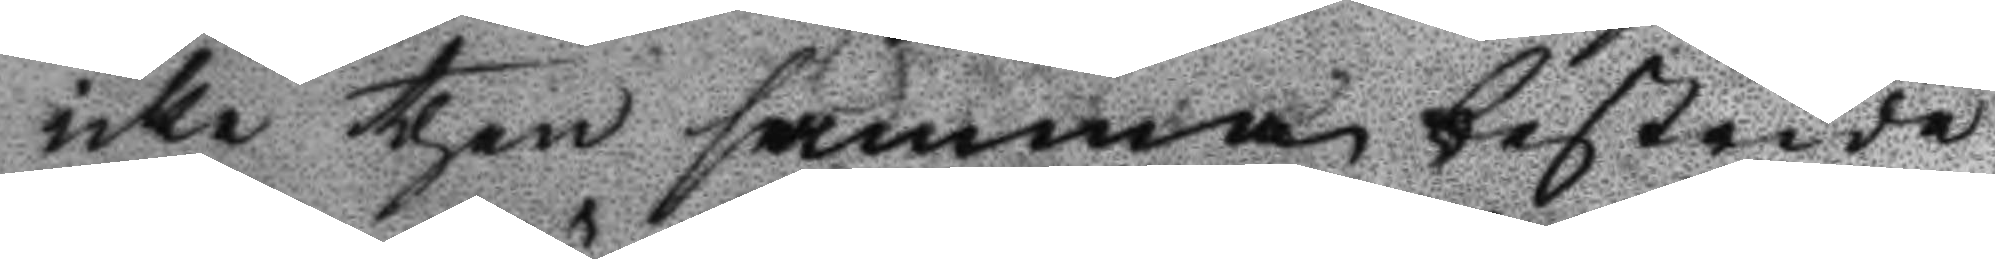icke then samma bestrida
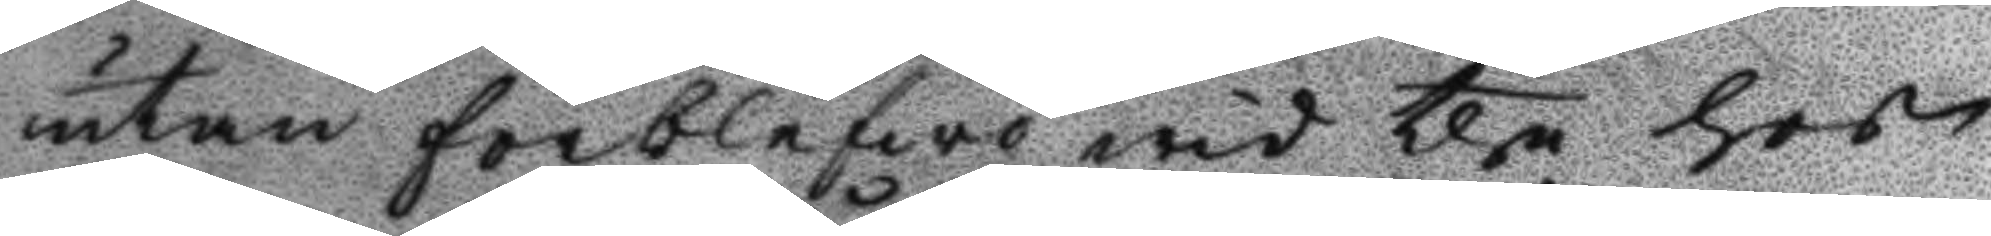utan förblefwo wid the hos
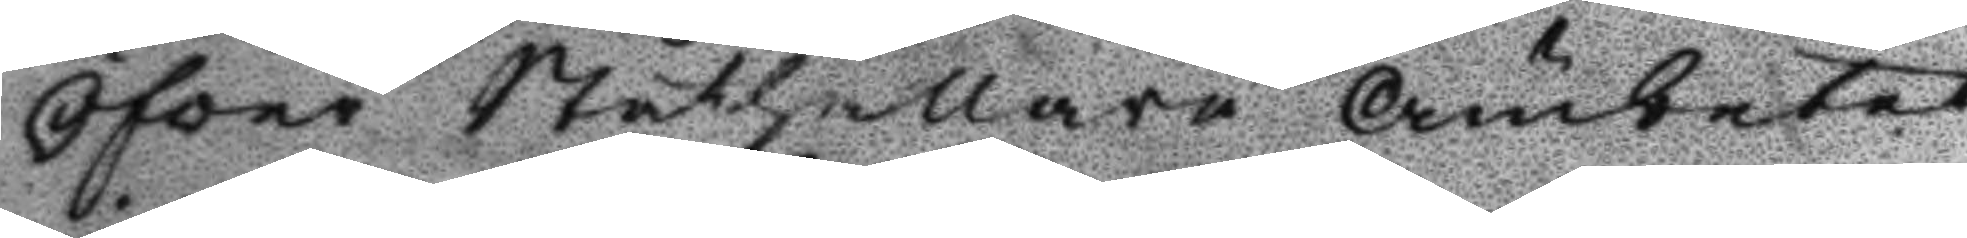Öfver Ståthållare Ämbetet
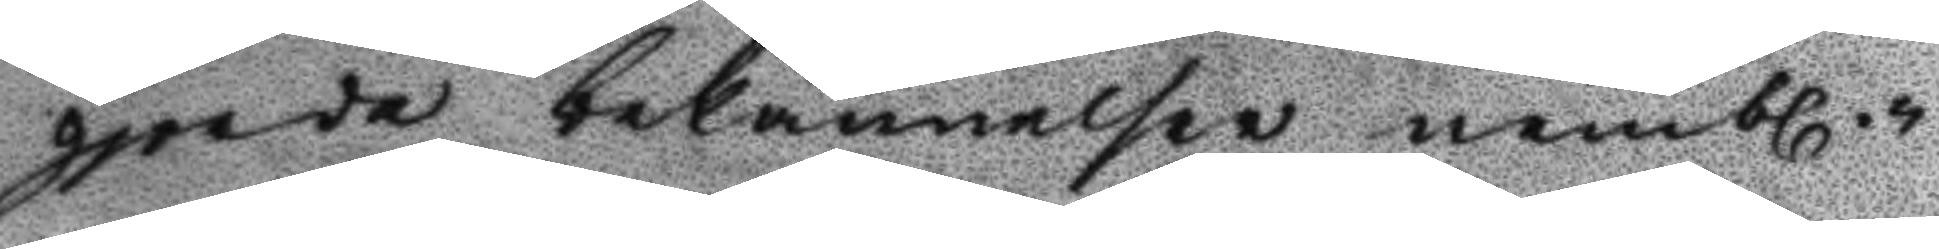gjorde bekännelsen nembl.n
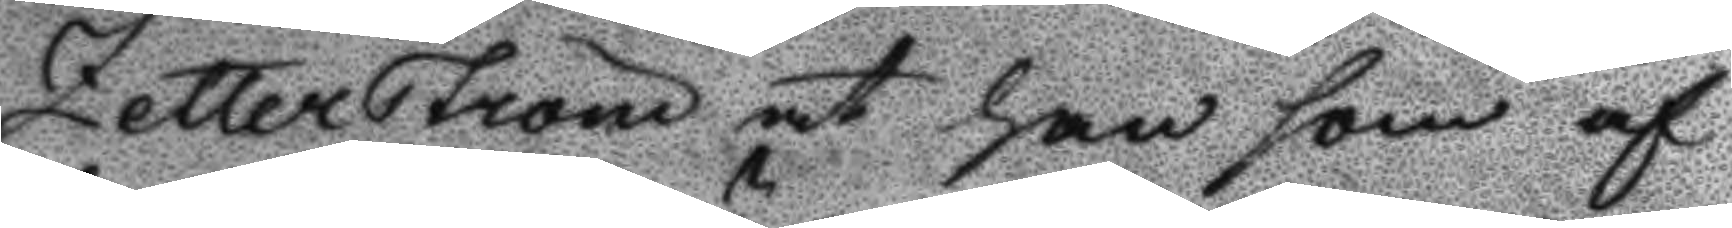Zetterström at han som af
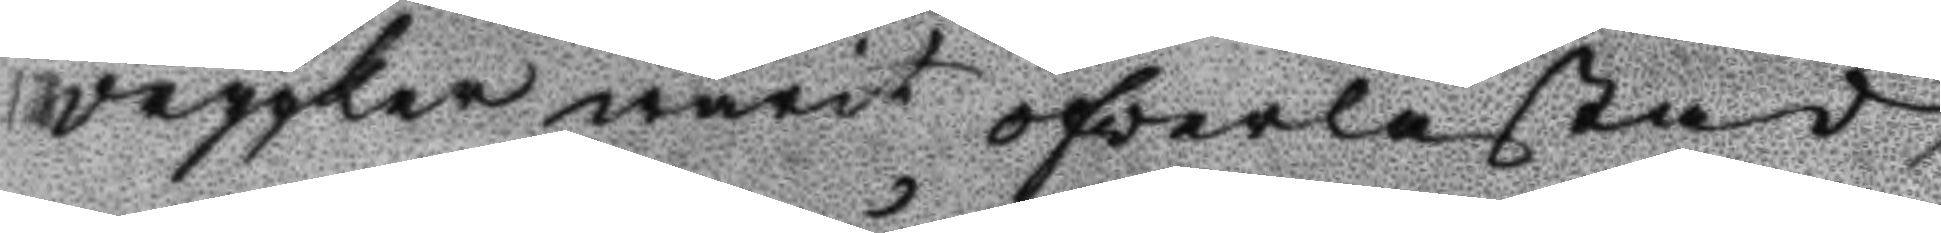drygker warit öfverlastad,
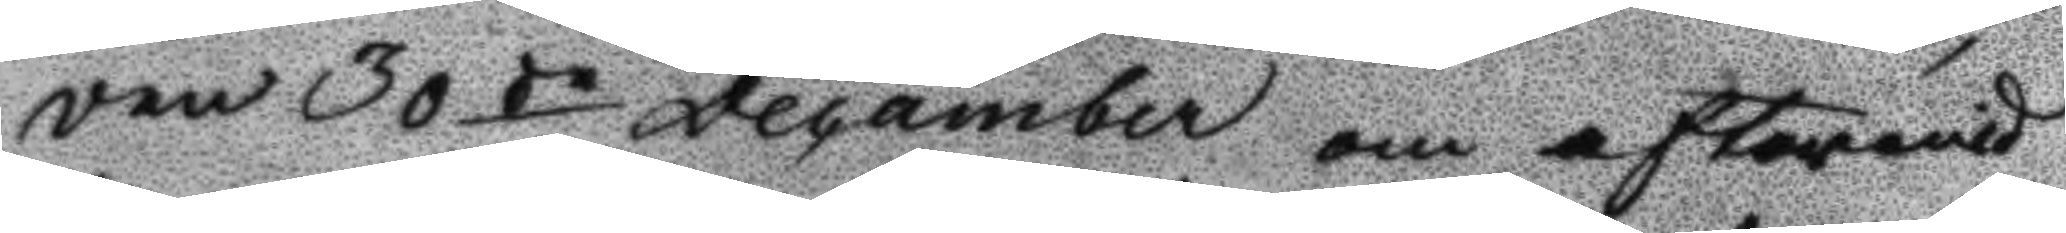den 30de December om aftoronid
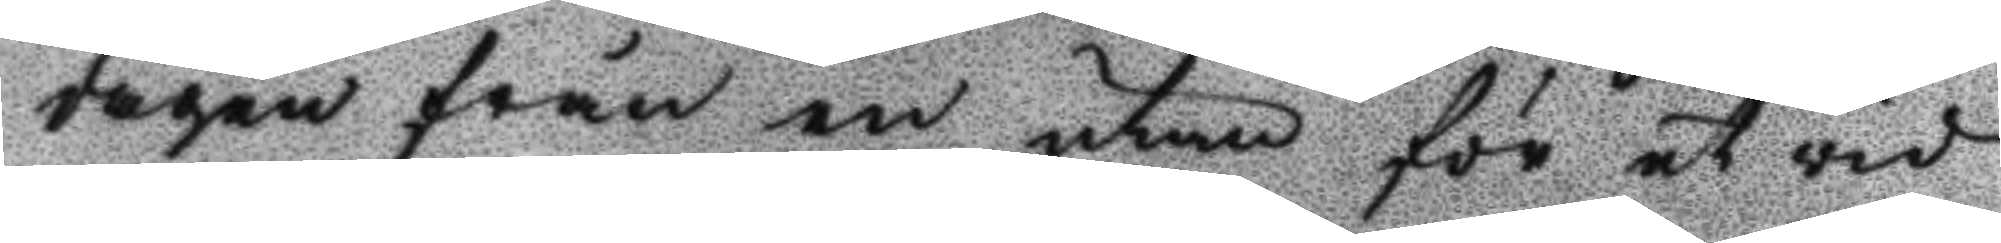dagen från en utan för et vid
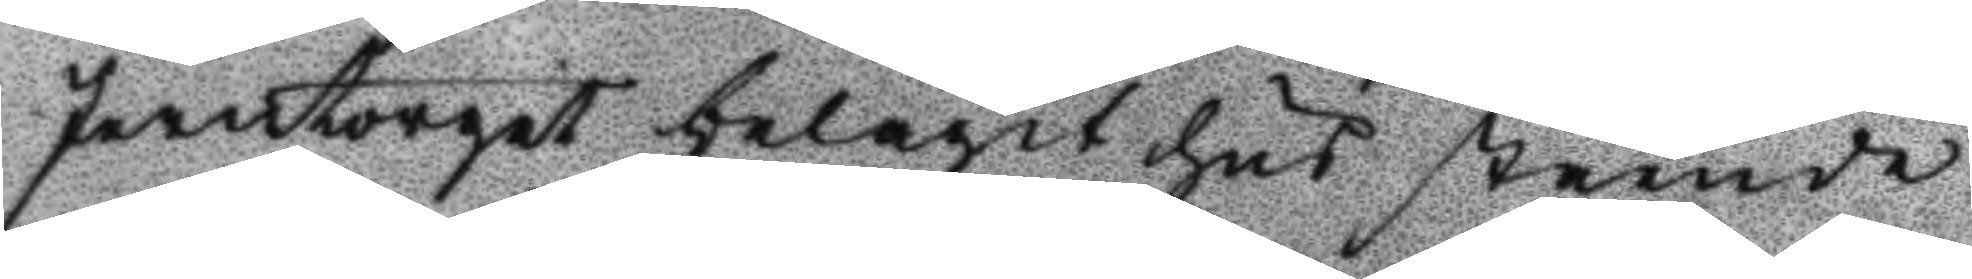Jerntorget belägit hus stående
